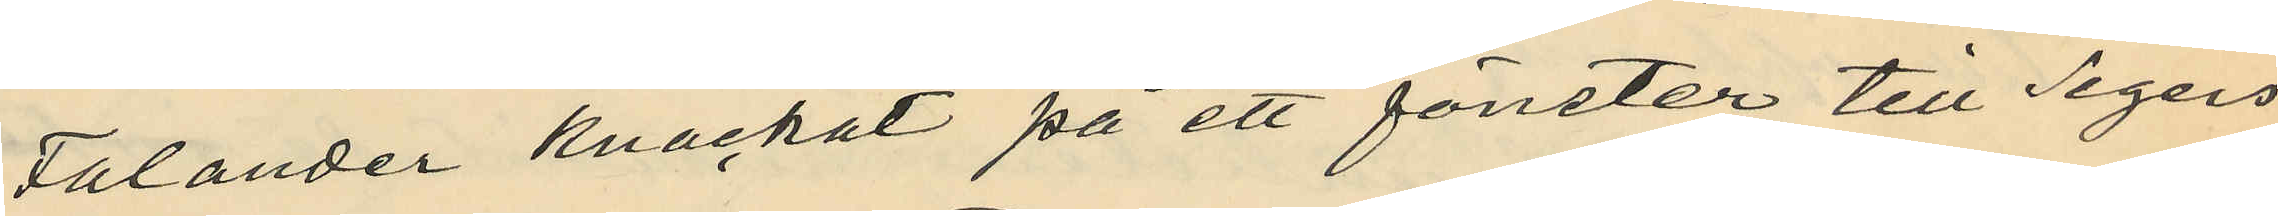Falander knackat på ett fönster till Segers
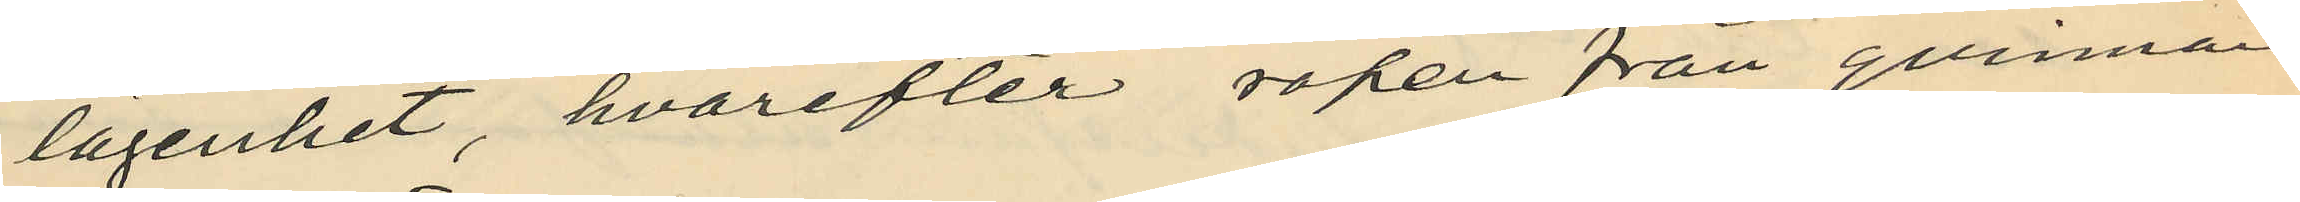lägenhet, hvarefter ropen från qvinnan
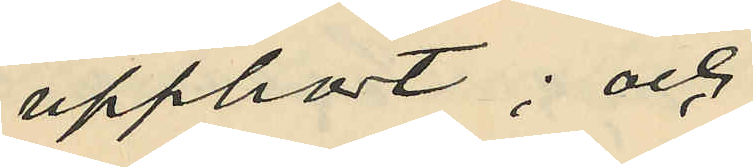upphört; och
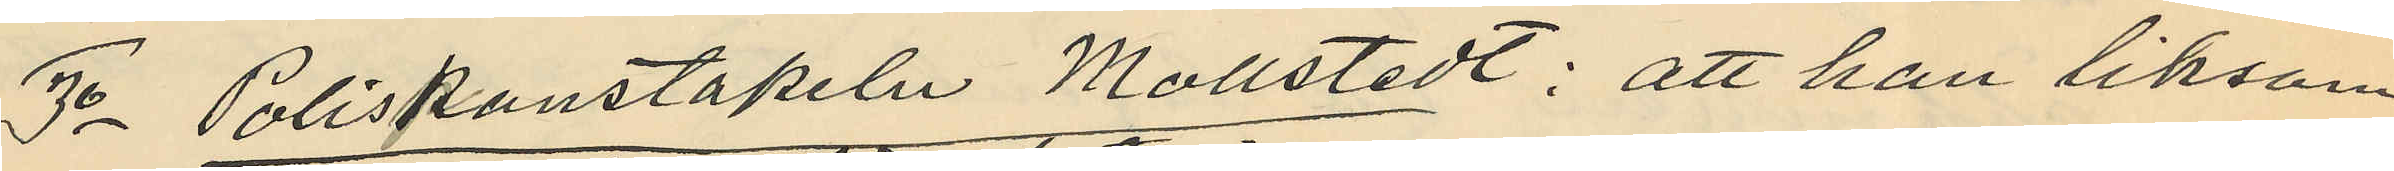3o Poliskonstapeln Mollstedt: att han liksom
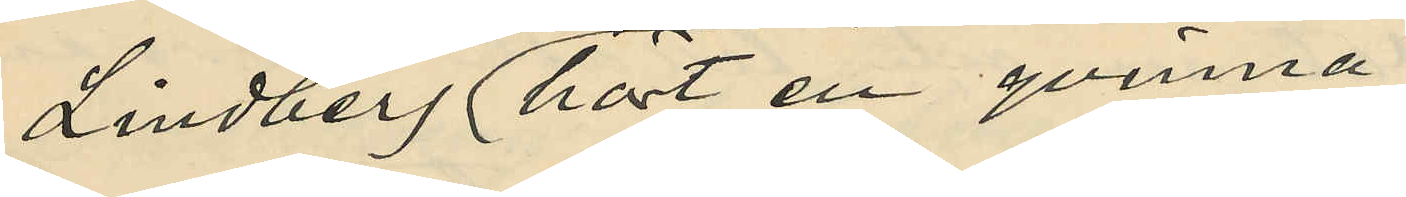Lindberg hört en qvinna
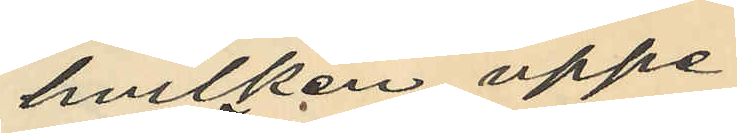hvilken uppe¬
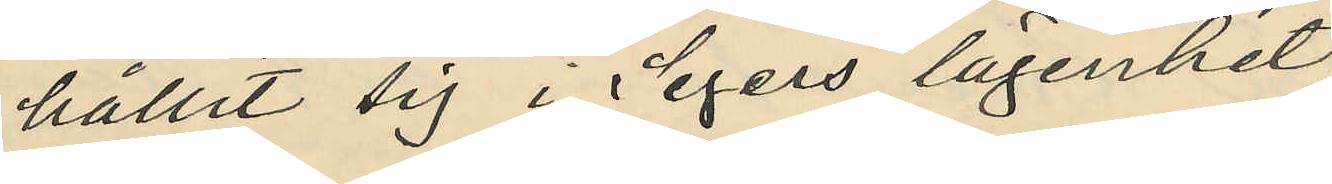hållit sig i Segers lägenhet
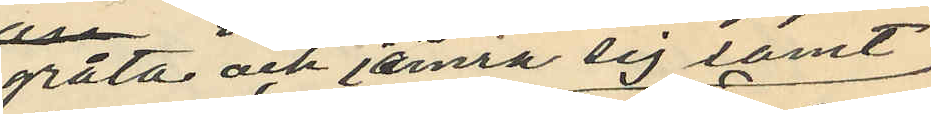gråta och jämra sig samt
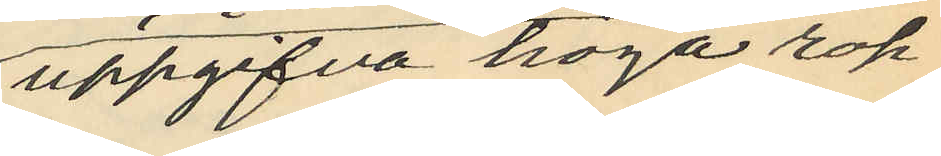uppgifva höga rop
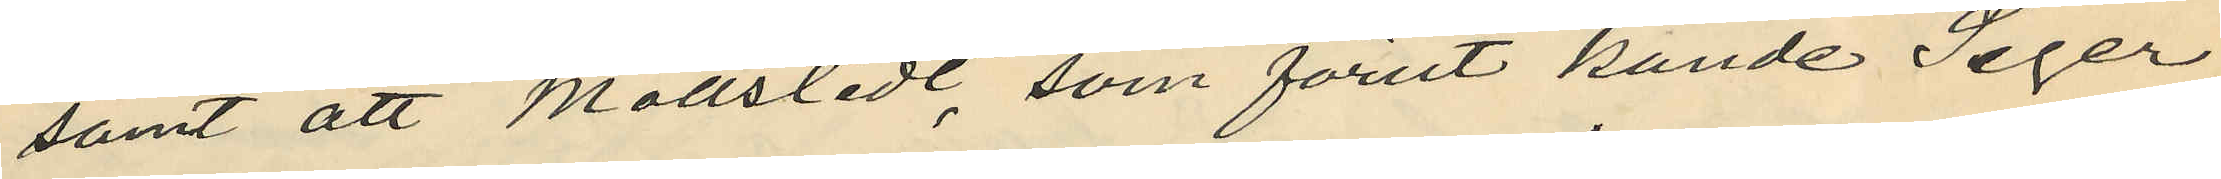samt att Mollstedt, som förut kände Seger
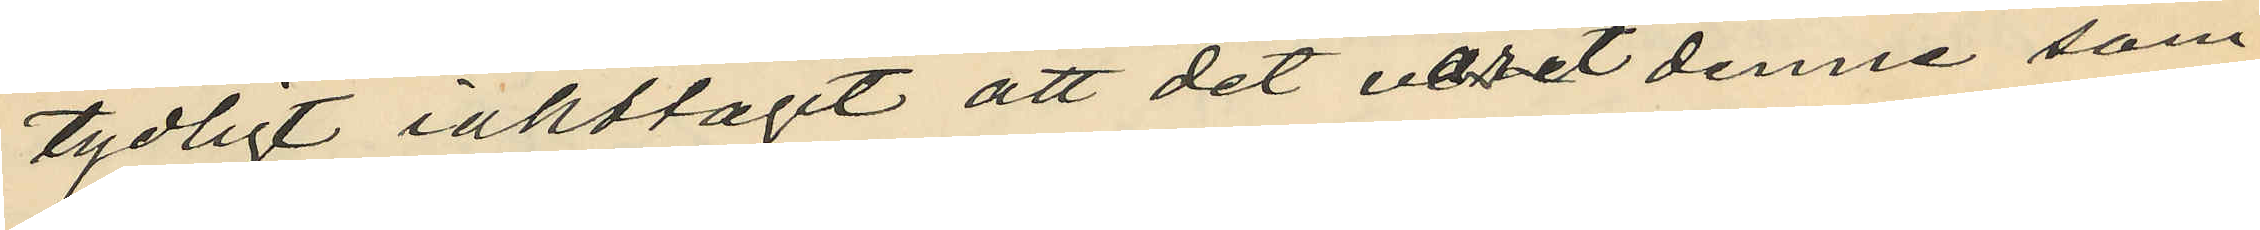tydligt iakttagit att det varit denne som
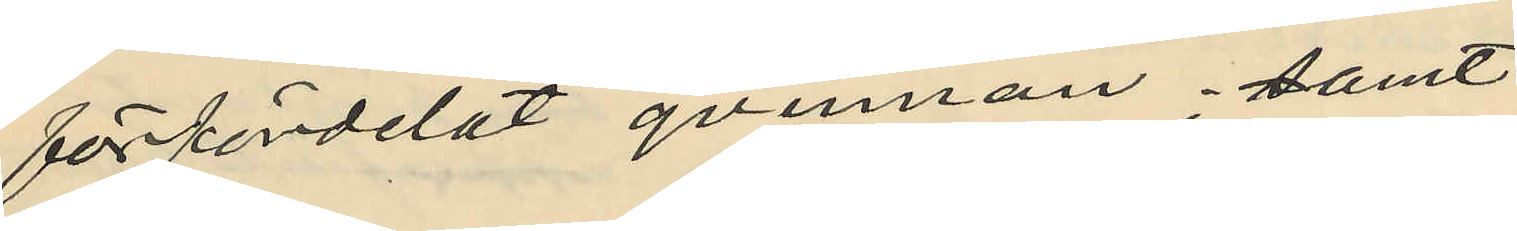förfördelat qvinnan; samt
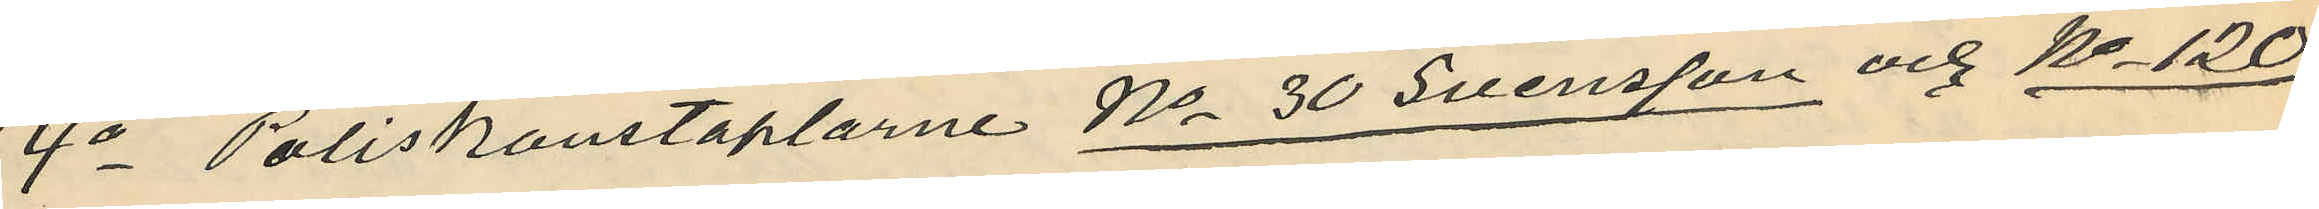4o Poliskonstaplarne No 30 Svensson och No 120
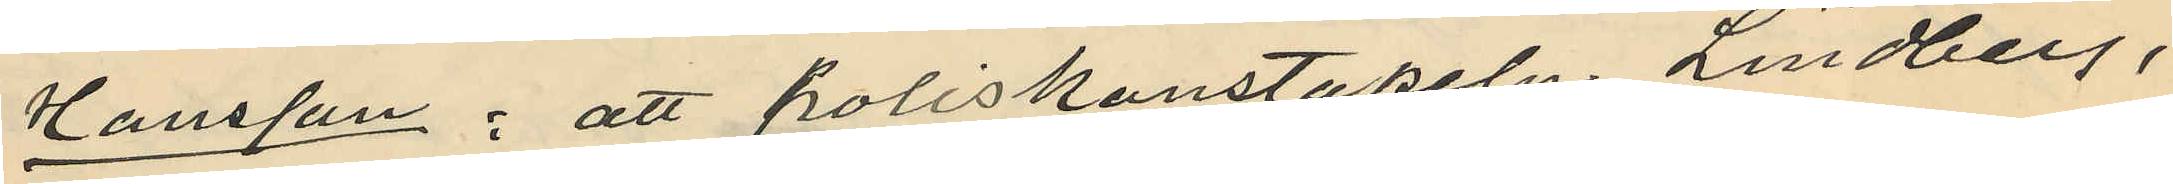Hansson: att poliskonstapeln Lindberg,
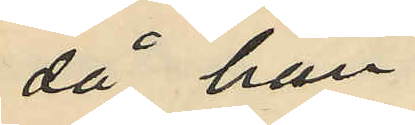då han
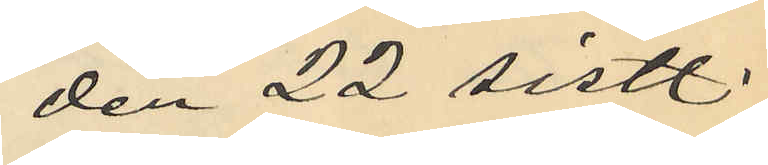den 22 sistl.
